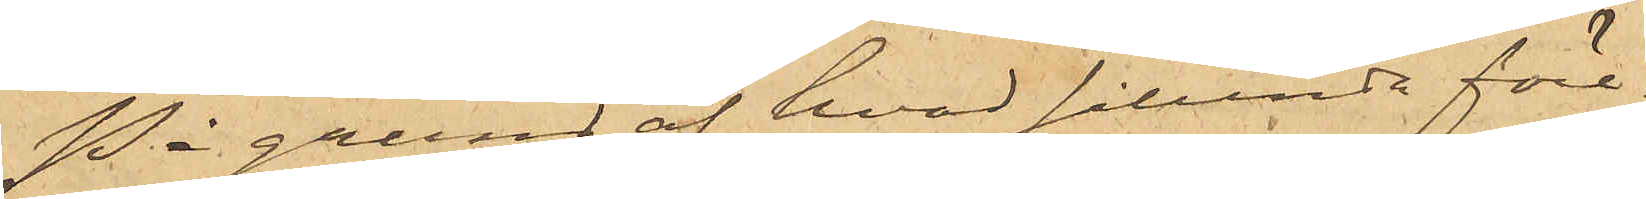På grund af hvad sålunda före¬
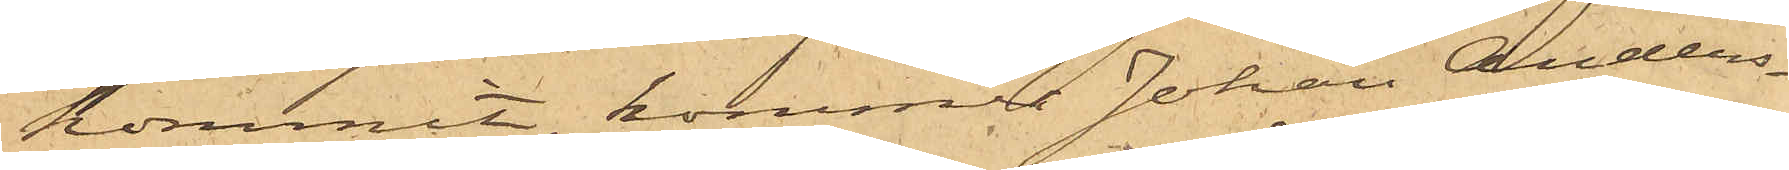kommit, kommer Johan Anders¬
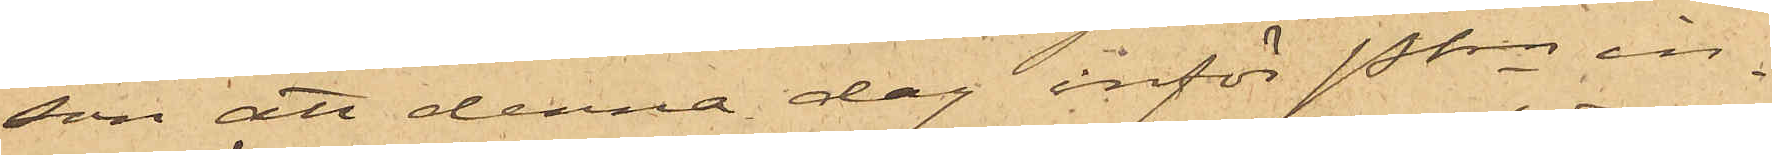son att denna dag inför Pkn in¬
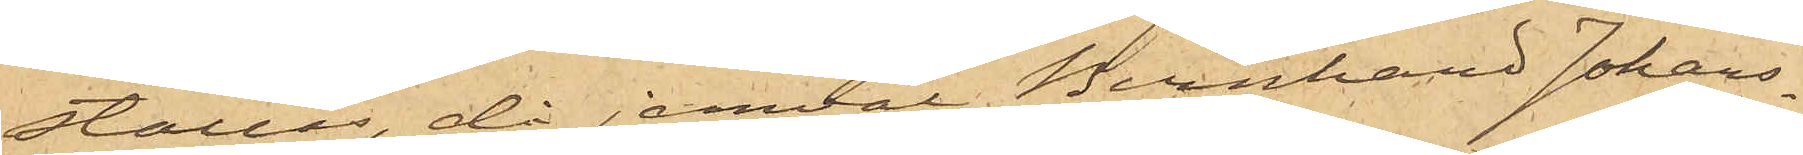ställes, då jemväl Bernhard Johans¬
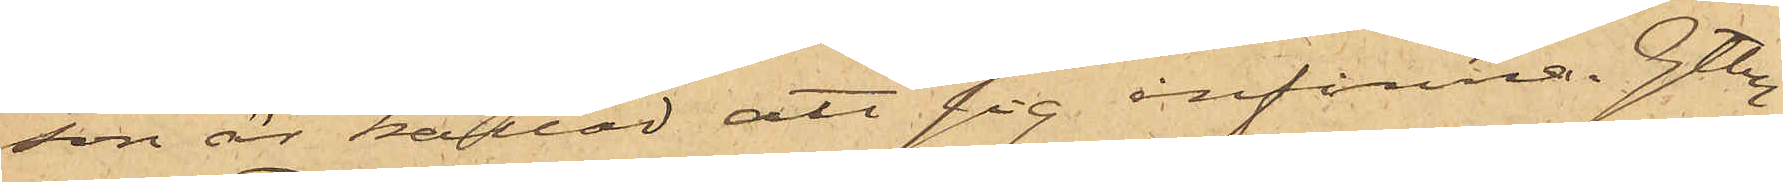son är kallad att sig infinna. Gtbg
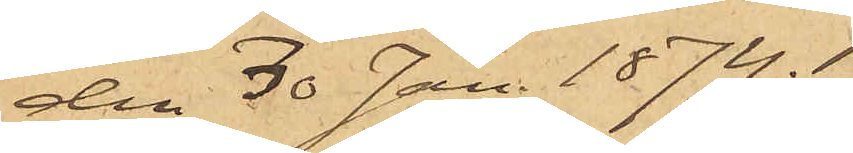den 30 Jan. 1874.
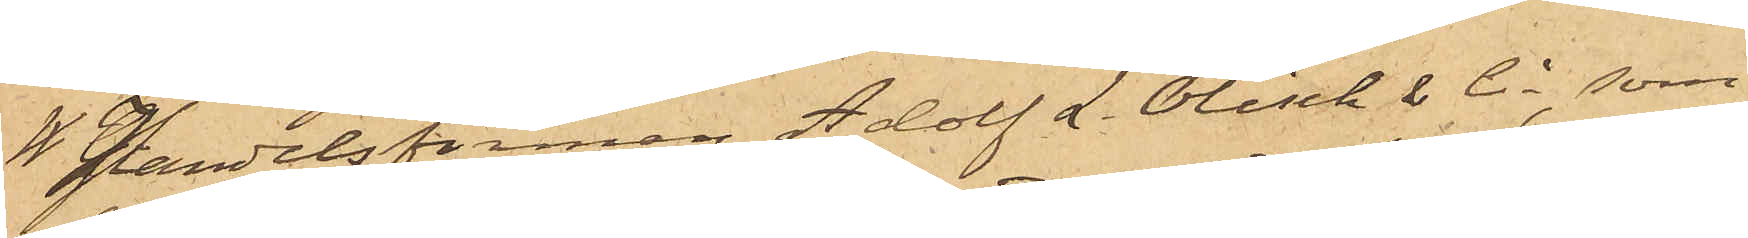*W* Handelsfirman Adolf L. Ölisch & Ci, som
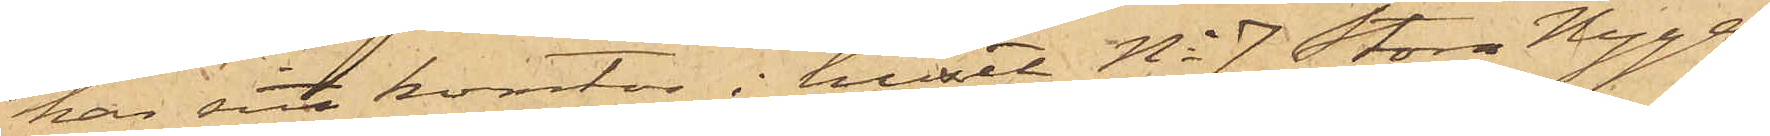har sitt kontor i huset No 7 Stora Nyga¬
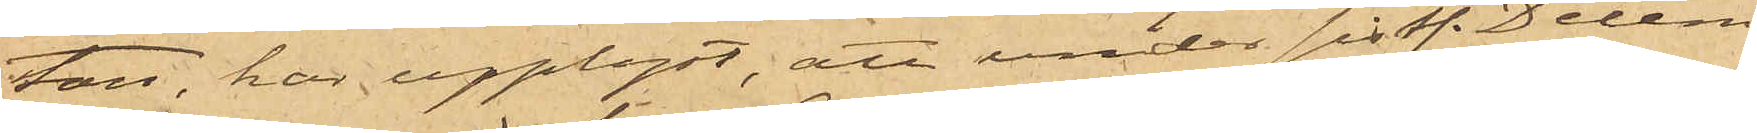tan, har upplyst, att under sistl. Decem¬
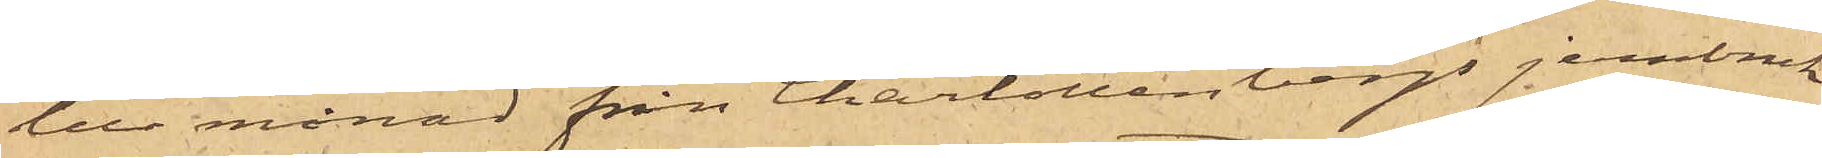ber månad från Charlottenbergs jernbruk
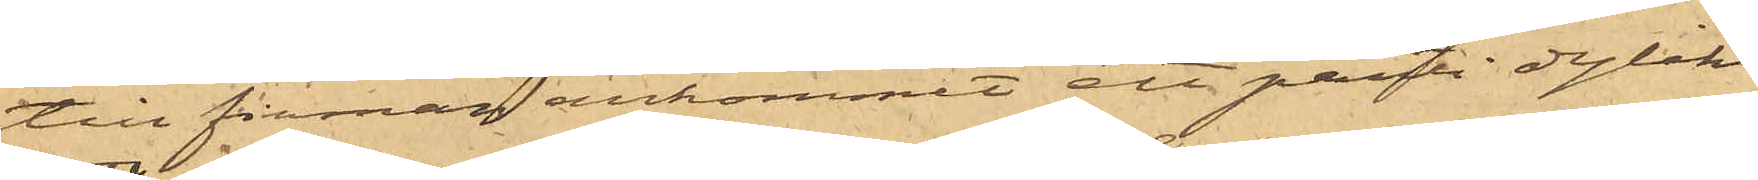till firman ankommit ett parti dylikt
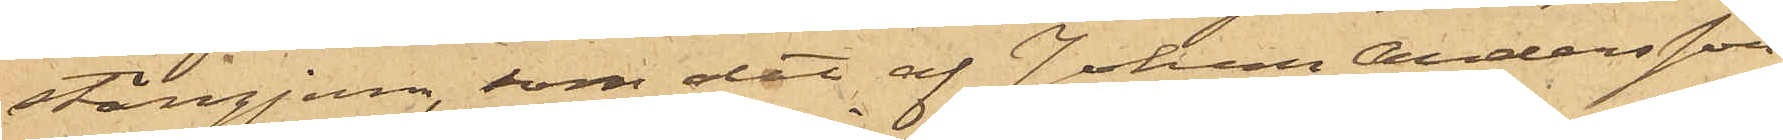stångjern, som det af Johan Andersson
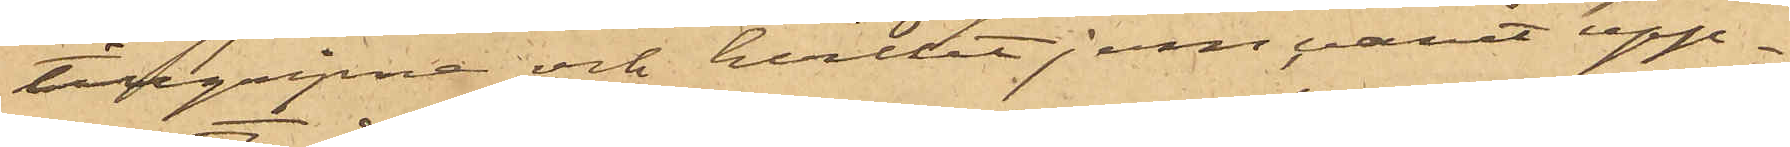tillgripne och hvilket jern varit upp¬
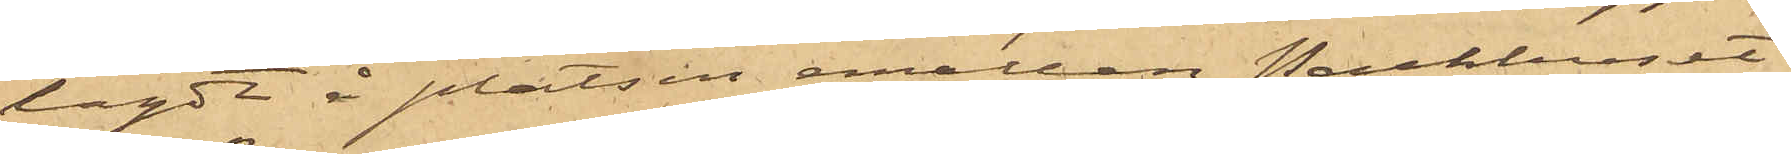lagdt å platsen emellan Packhuset
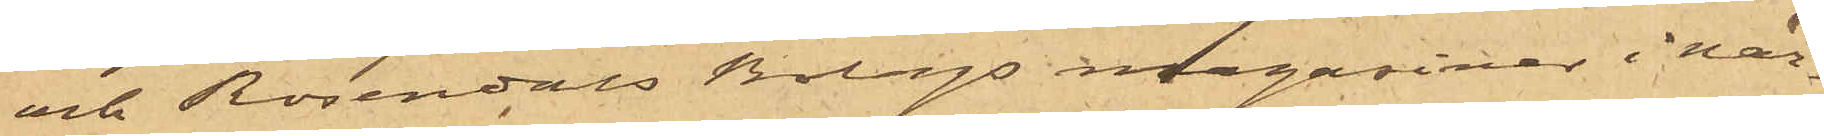och Rosendals Bolags magasiner i när¬
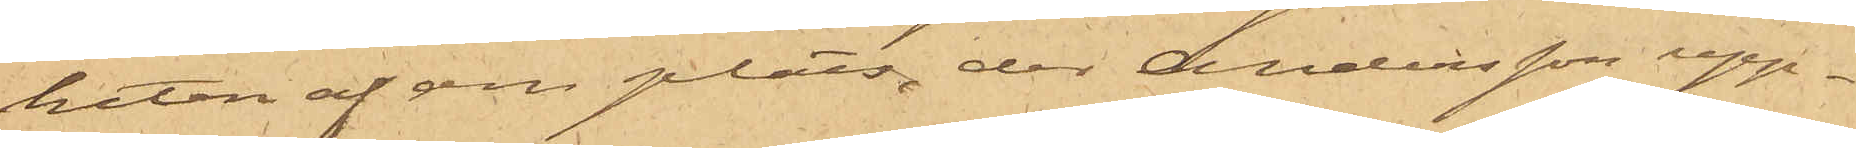heten af den plats, der Andersson upp¬
